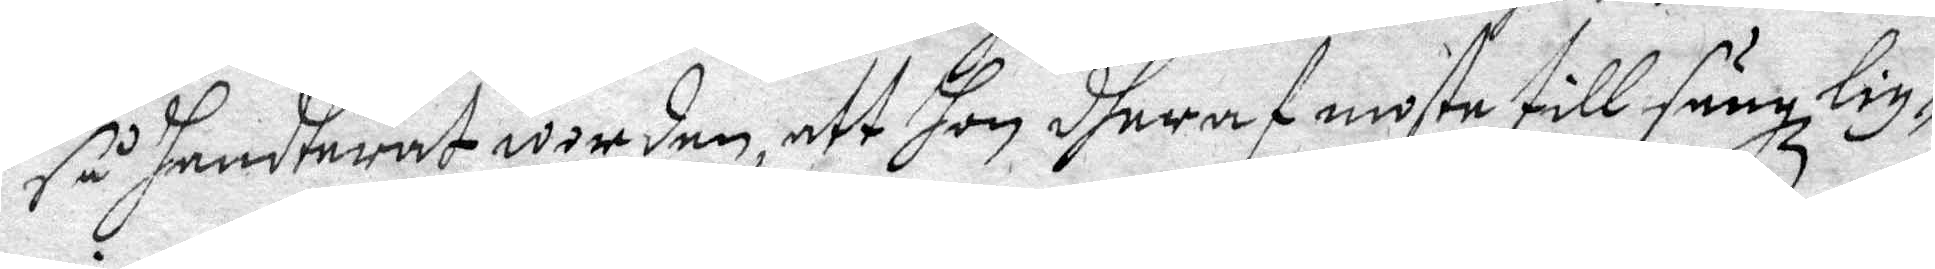så handterat worden, att hon dheraf moste till säng lig¬
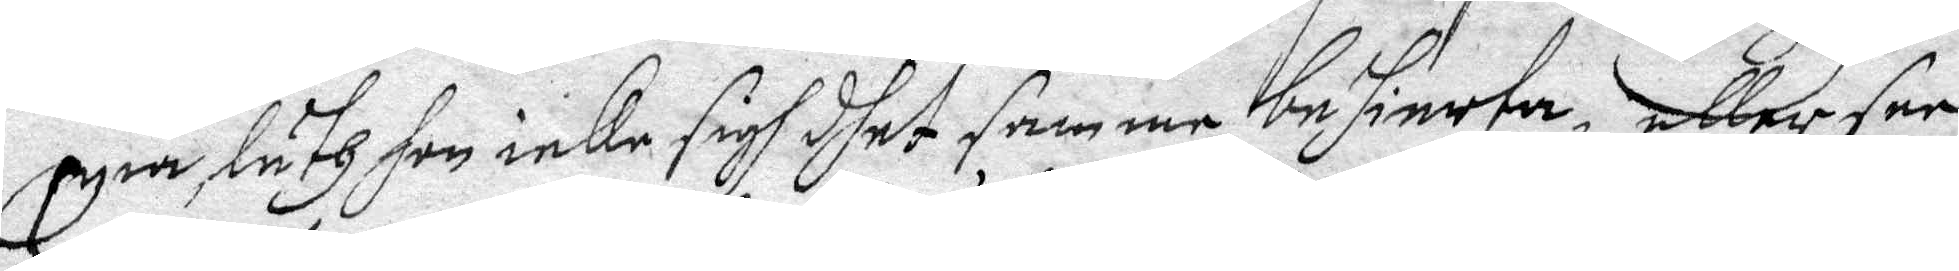gia, läth hon ieke sigh dhet samme behierta, eller see
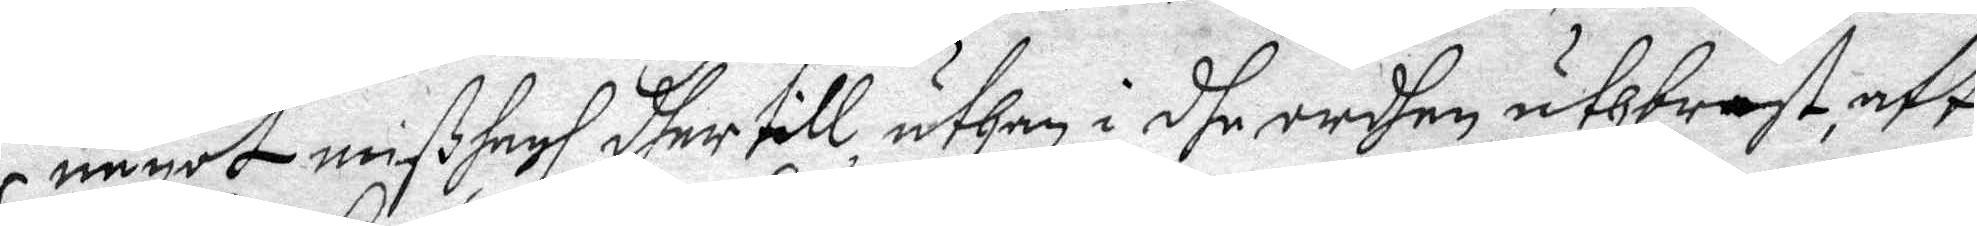något mißhagh dher till, uthan i dhe ordhen uthbrast, att
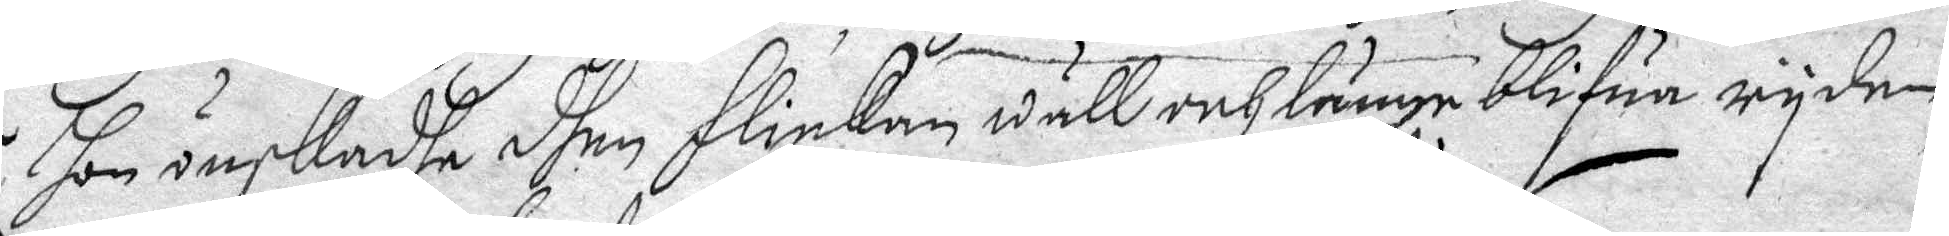hon önskadhe dhen flicken wäll och länge blifua ryden,
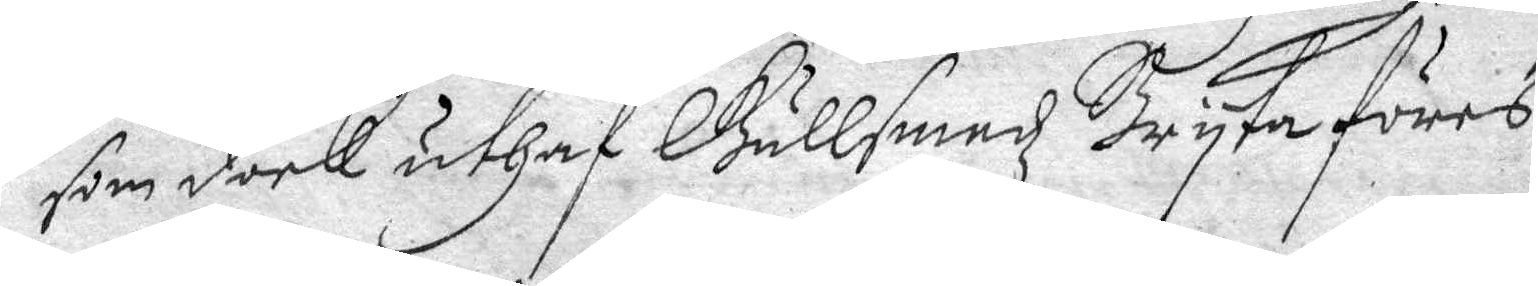som dock uthaf Gullsmedz Bryta föres.
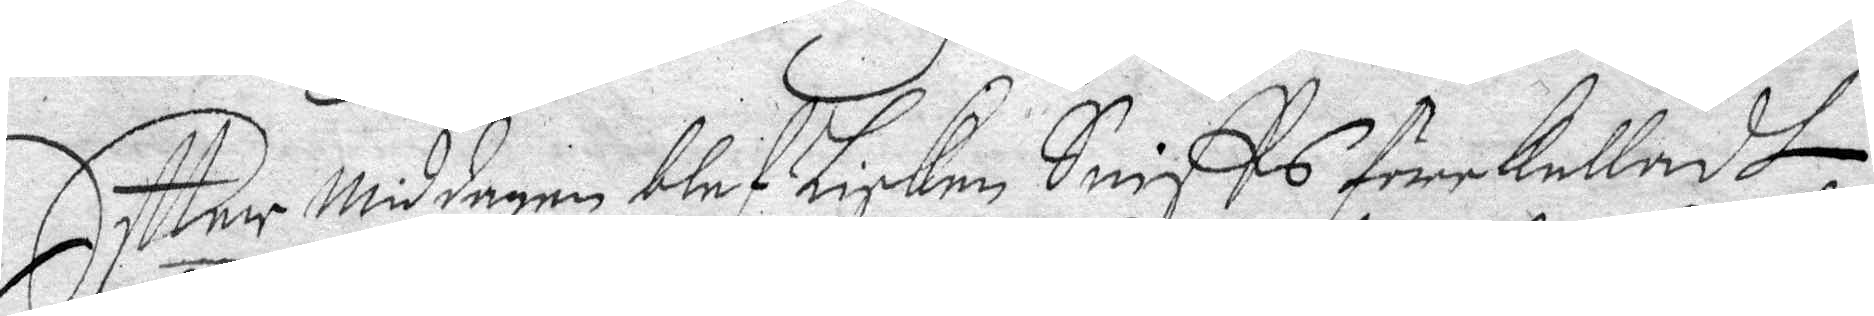Eftter Middagen blef Lisken Sniffs förekalladt
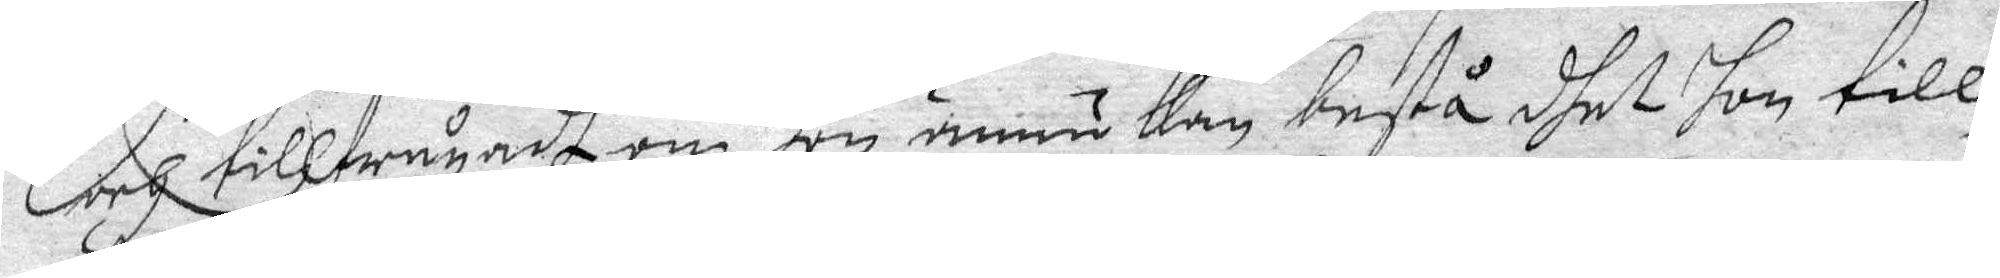och tillfrågadh om hon ännu kan bestå dhet hon till¬
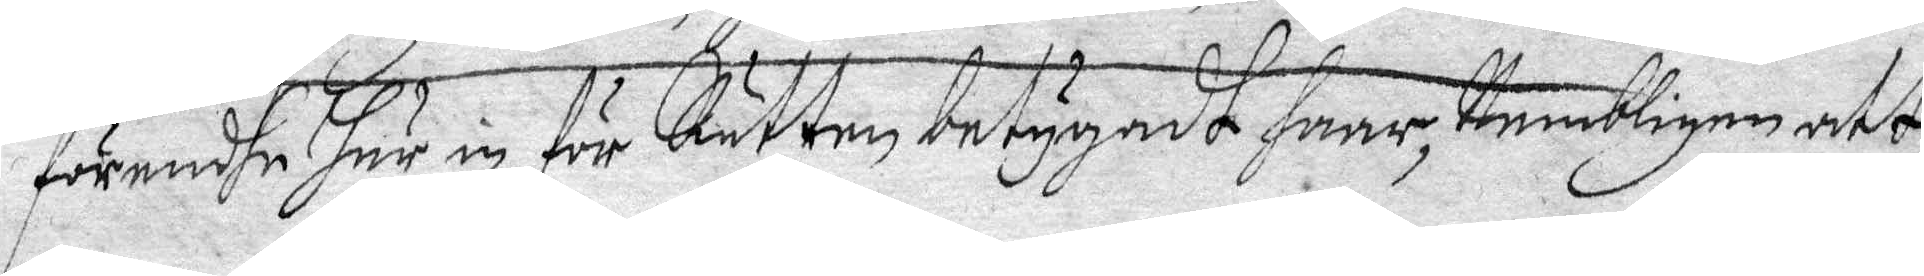förendhe här in för Rätten betygadt haar, Nembligen att
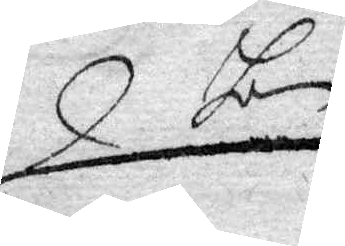hon
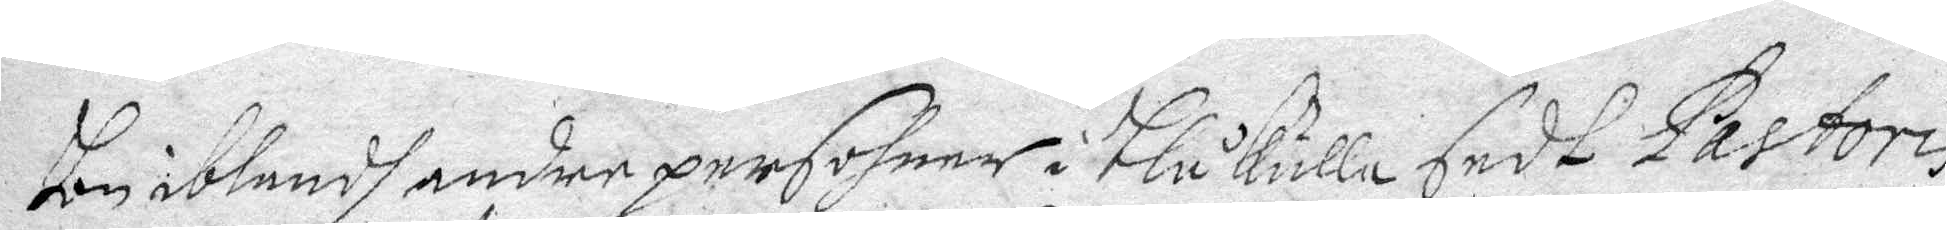Hon iblandh andre persohner i blåkulla sedt Pastoris
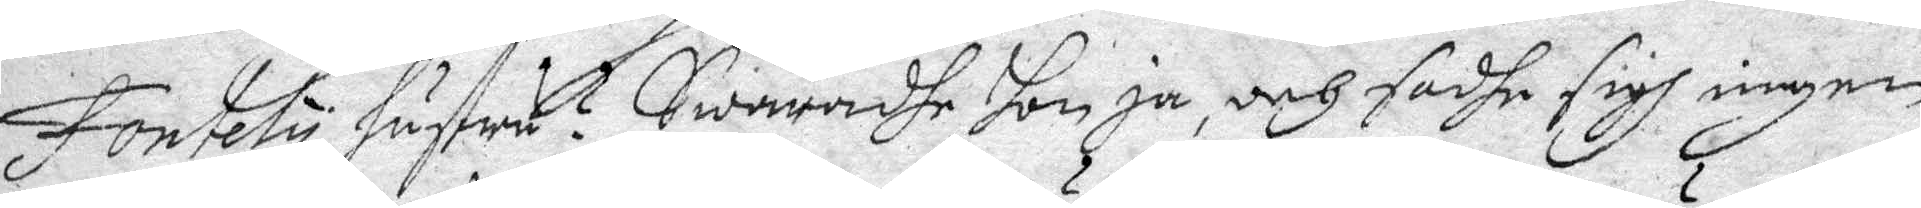fontely hustru? Swaradhe hon ja, och sadhe sigh ingen
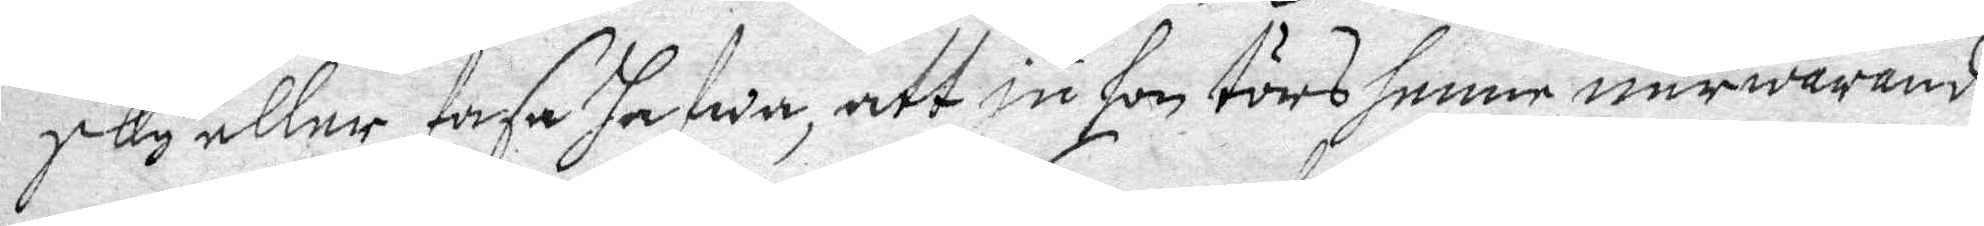sky eller fasa hafwa, att ju hon törs henne närwarande
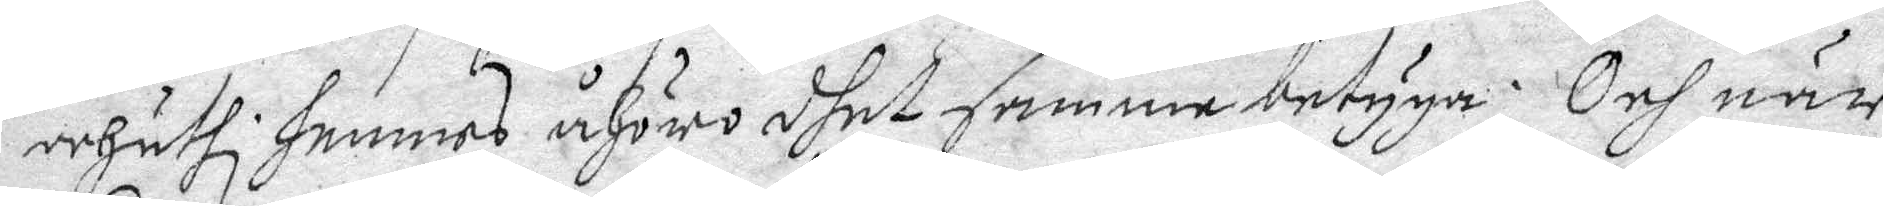och uthi hennes åhöro dhet samma betyga. Och när
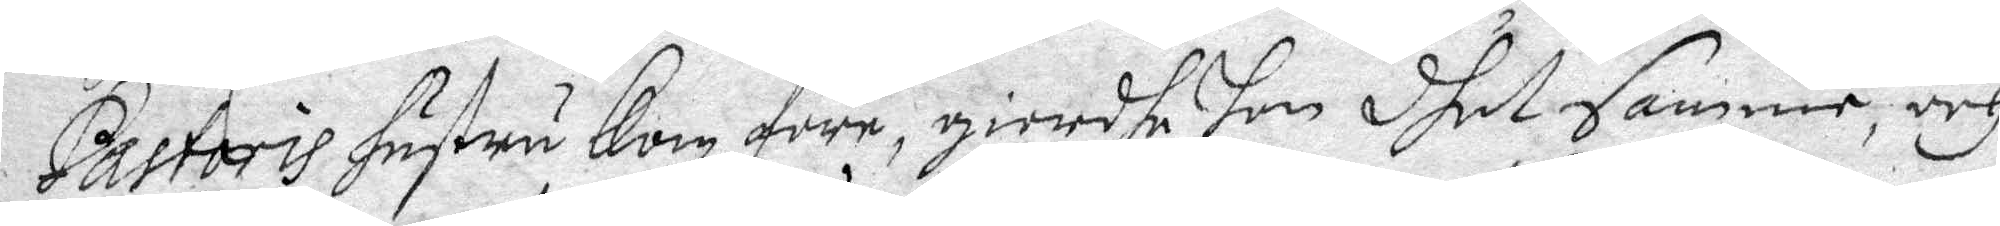Pastoris hustru Kom före, giordhe hon dhet samma, och
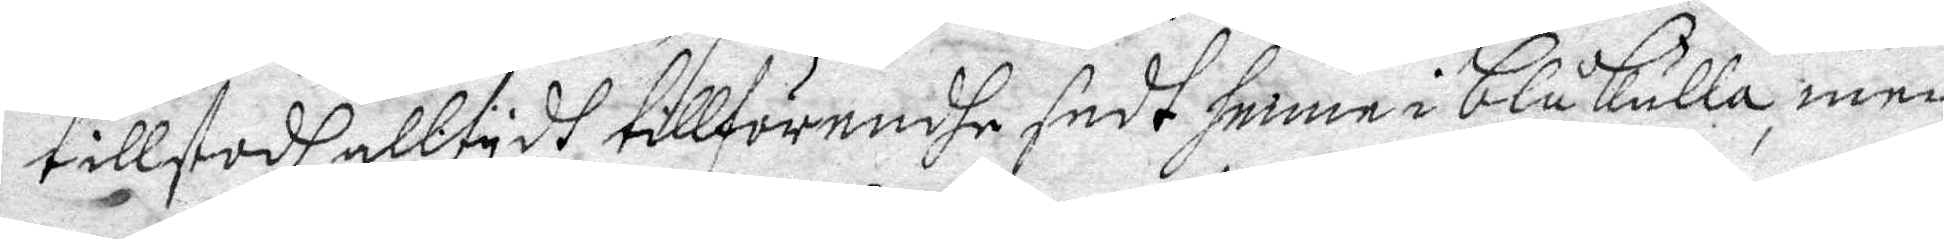tillstodh alltydh tillförendhe sedt henne i Blåkulla, men
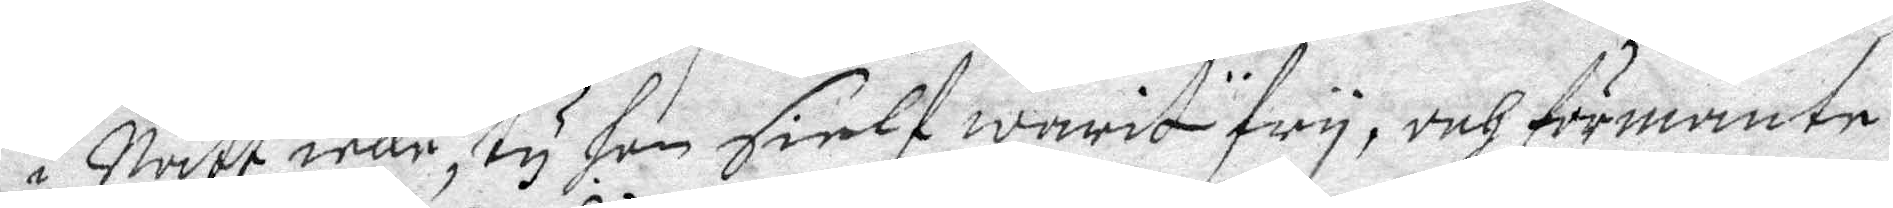i Natt icke, ty hon sielf warit fry, och förmante
